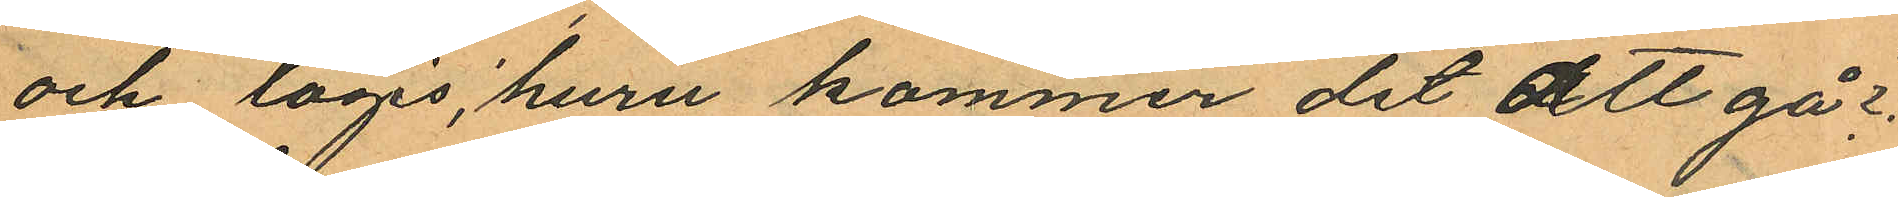och logis, 'huru kommer det att gå?"
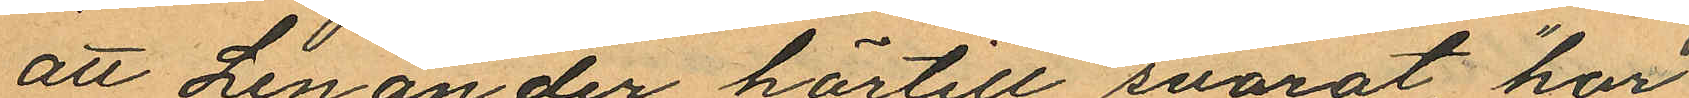att Lenander härtill svarat, "har
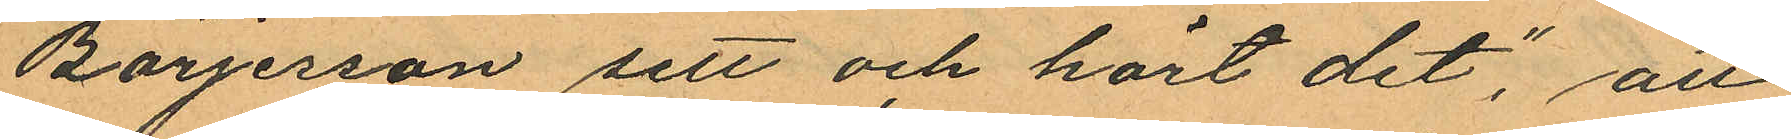Börjerson sett och hört det", att
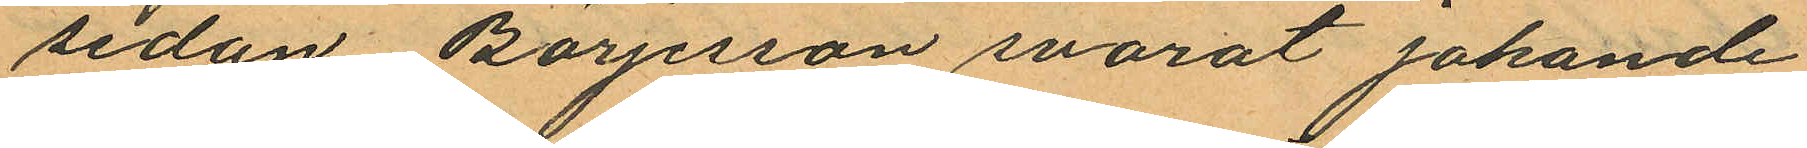sedan Börjesson svarat jakande
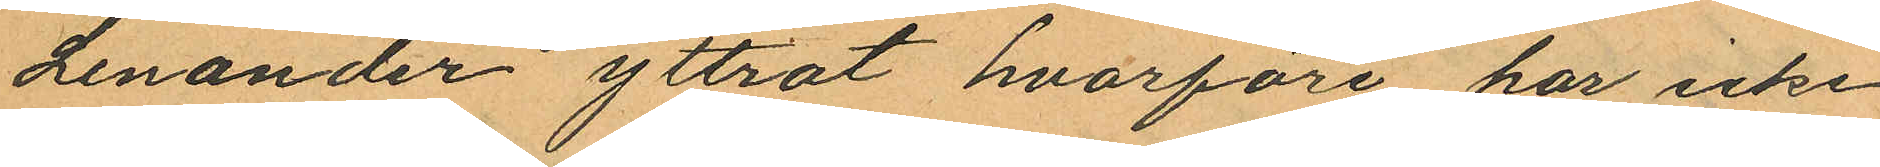Lenander yttrat hvarföre har icke
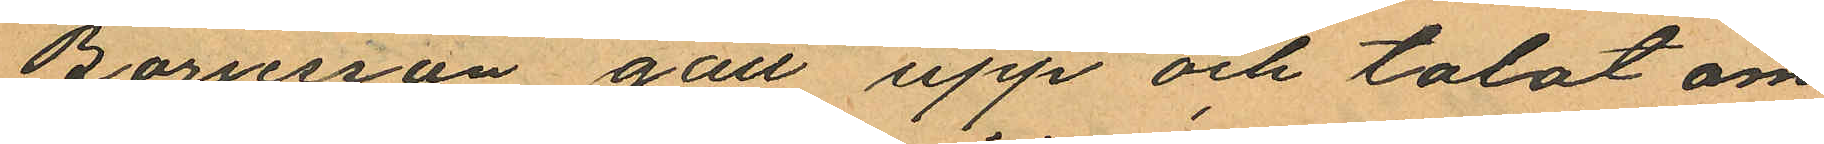Barnsson gått upp och talat om
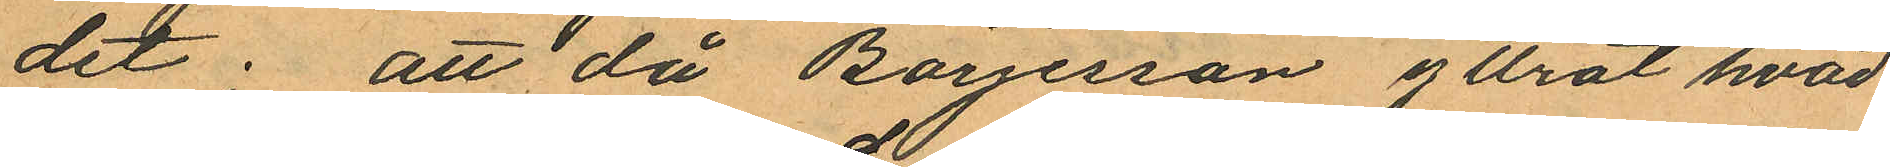det; att då Börjesson yttrat "hvad
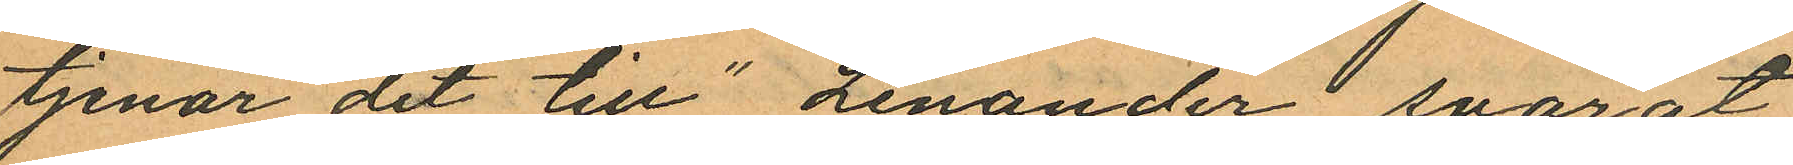tjenar det till", Lenander svarat
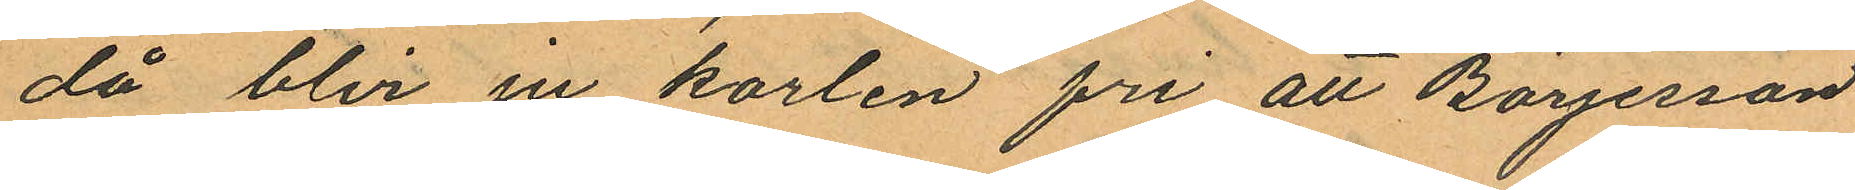då blir ju karlen fri att Börjesson
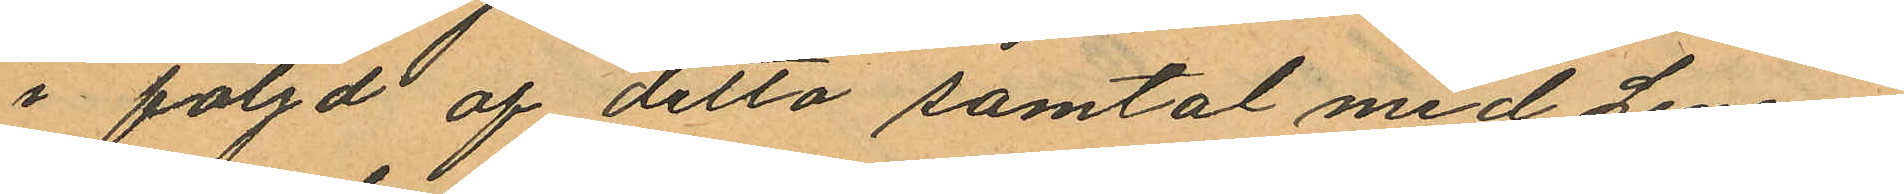i följd af detta samtal med Lenan¬
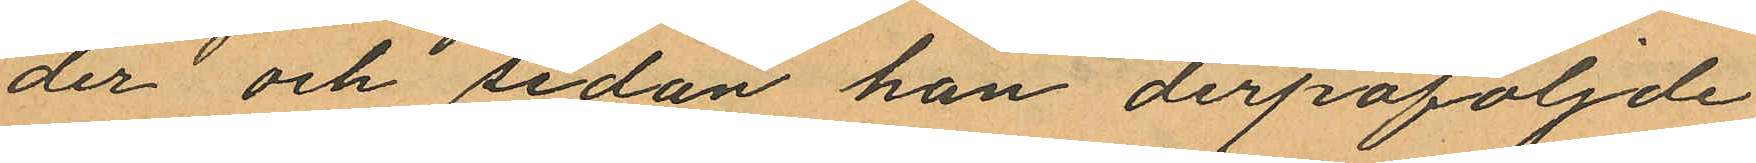der och sedan han derpåföljde
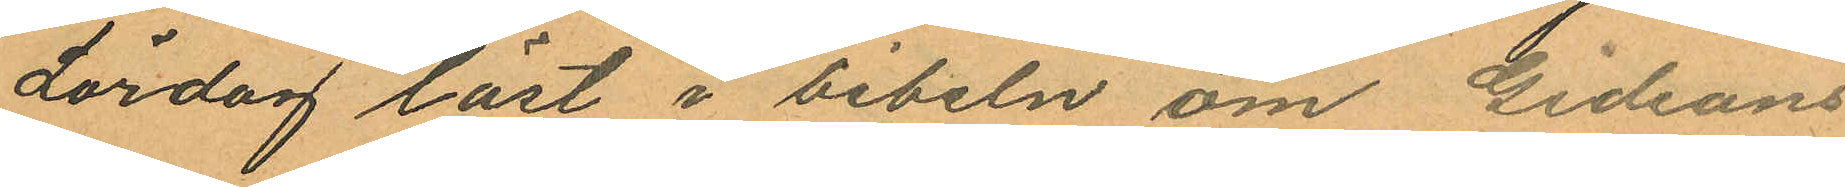Lördag läst i bibeln om Gideons
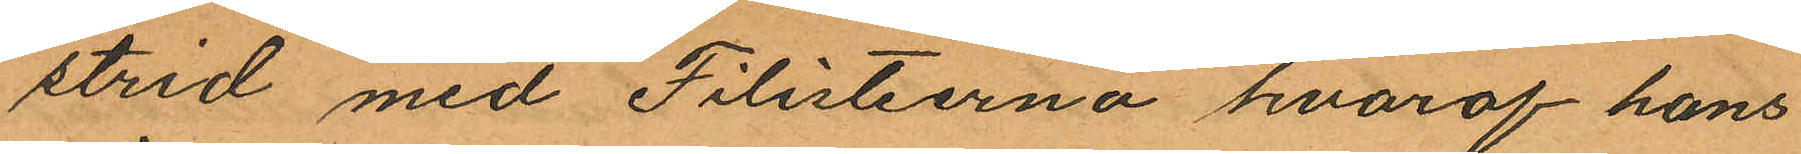strid med Filisteerna hvaraf hans
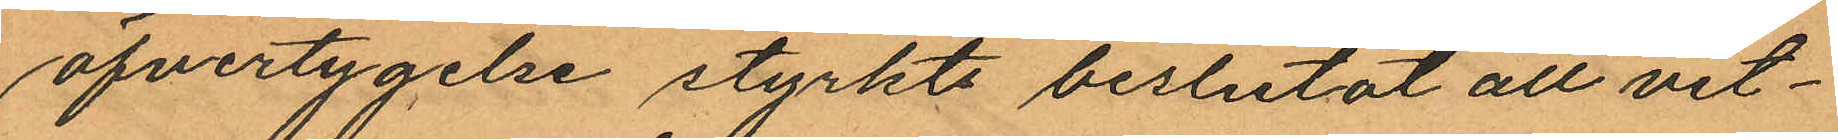öfvertygelse styrkts beslutat att vit¬
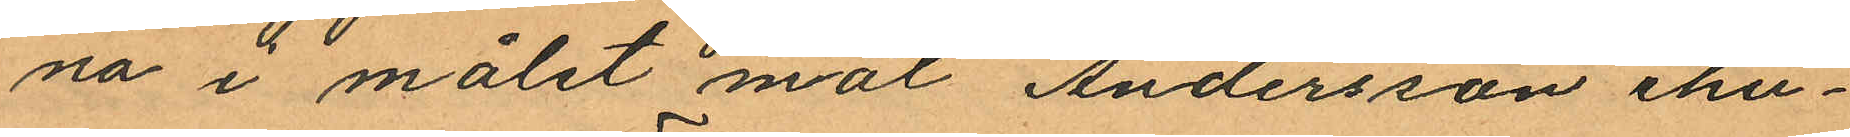na i målet mot Andersson ehu¬
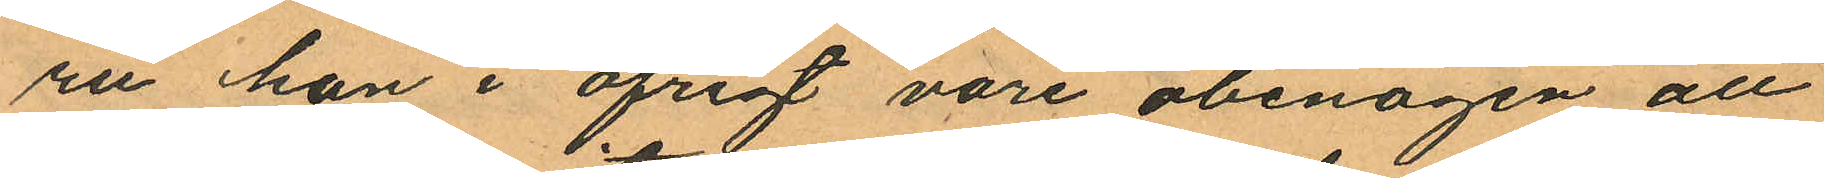ru han i öfrigt vore obenägen att
